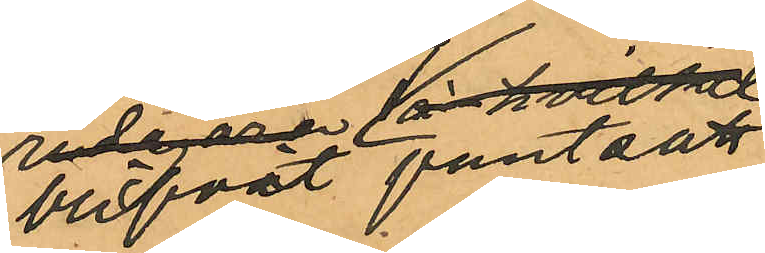blifvit pantsatt,
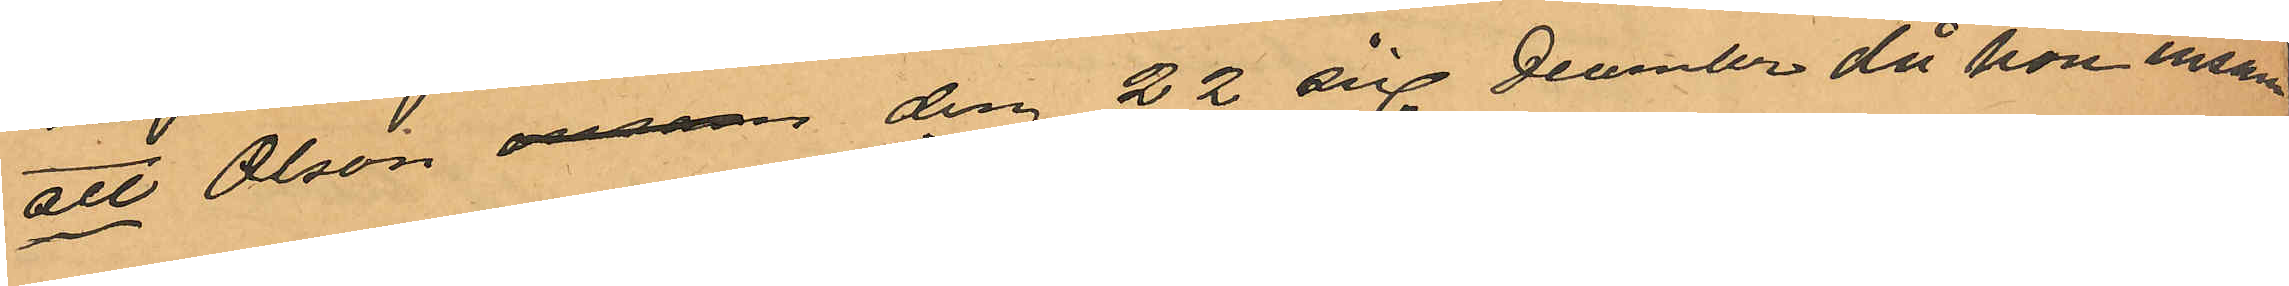att Olson den 22 sist December då hon ensam
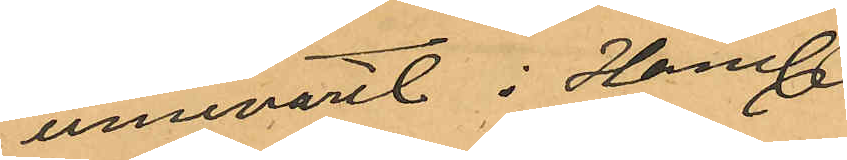innevarit i Hand¬
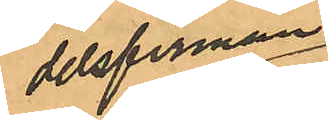delsfirman
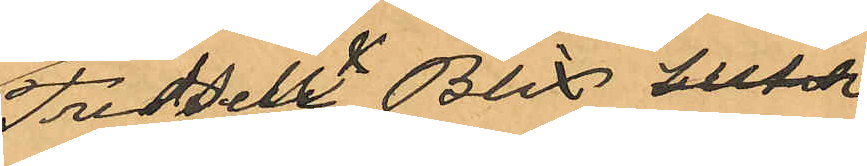Fredrik & Blix` hlifda
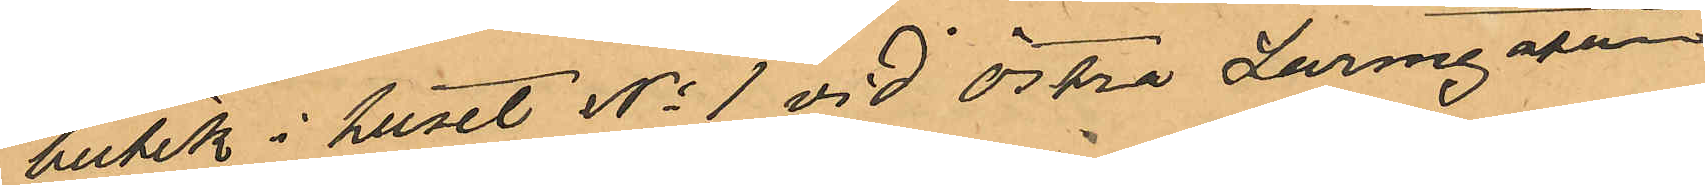butik i huset No 1 vid Östra Larmgatan
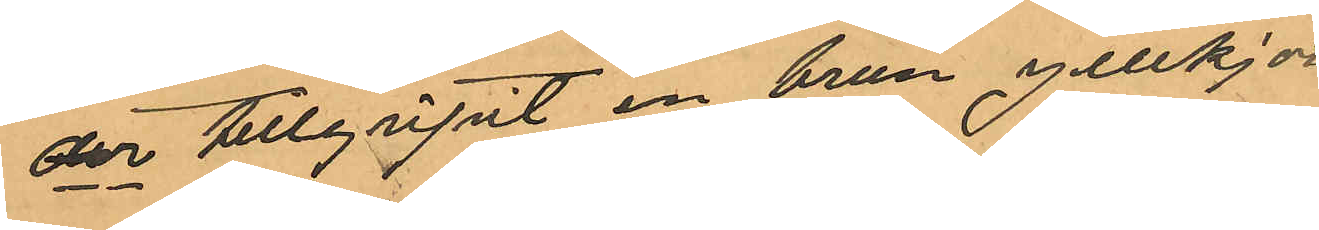der tillgripit en brun yllekjor¬
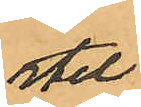tel,
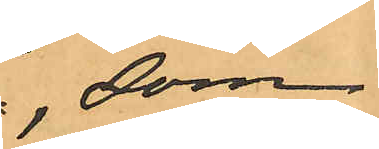som
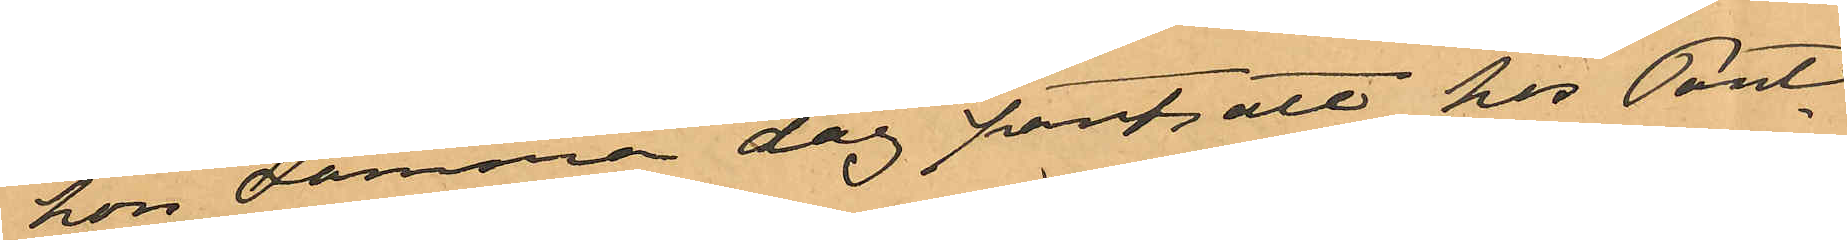hon samma dag pantsatt hos Pant¬
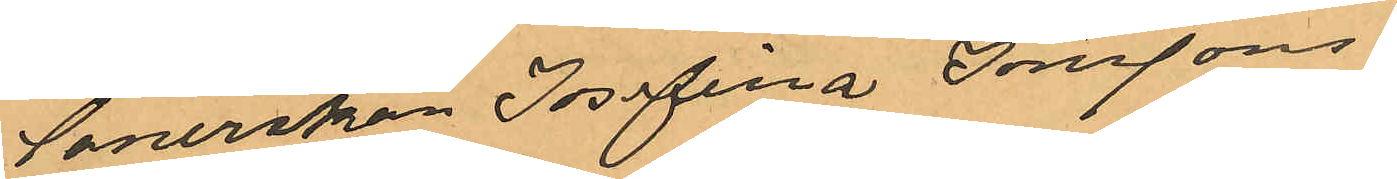lånerskan Josefina Jonsson
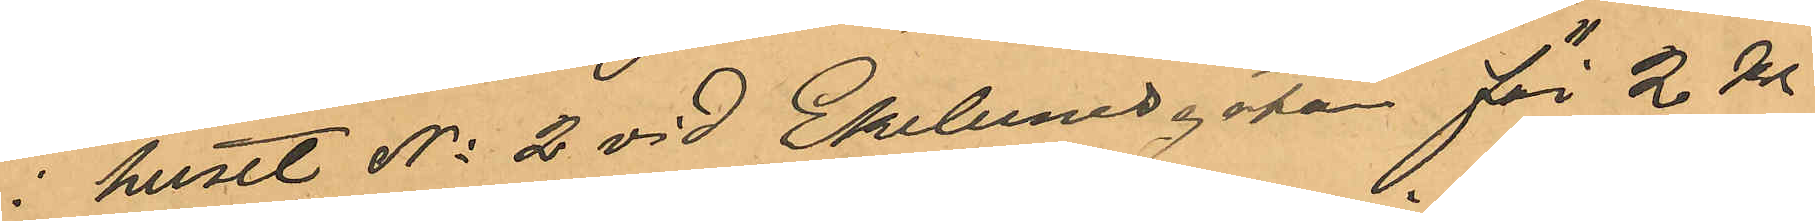i huset No 2 vid Ekelundsgata för 2 Kr
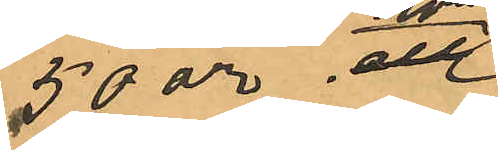50 öre; att
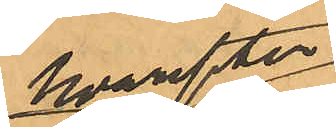hvarefter
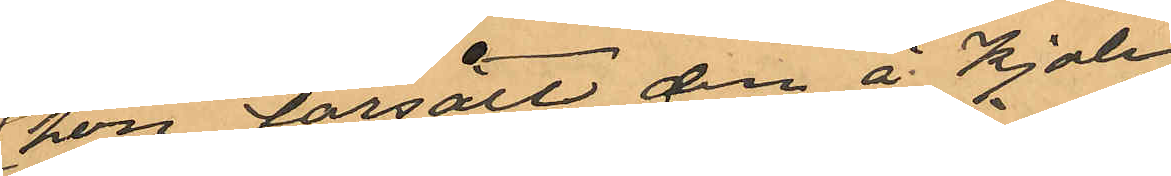hon försålt den å Kjolen
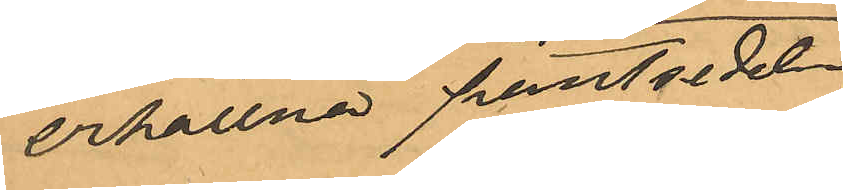erhållna pantsedeln
